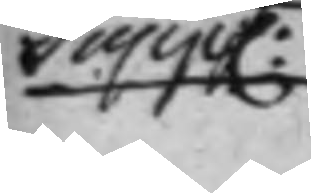Supp.
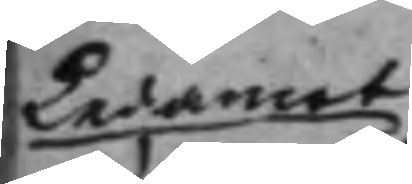Ledamot
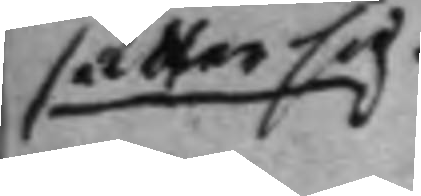sätter sig.
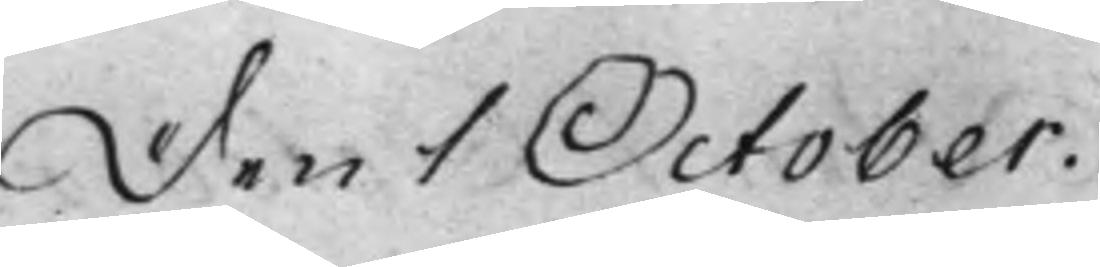Den 1 October.
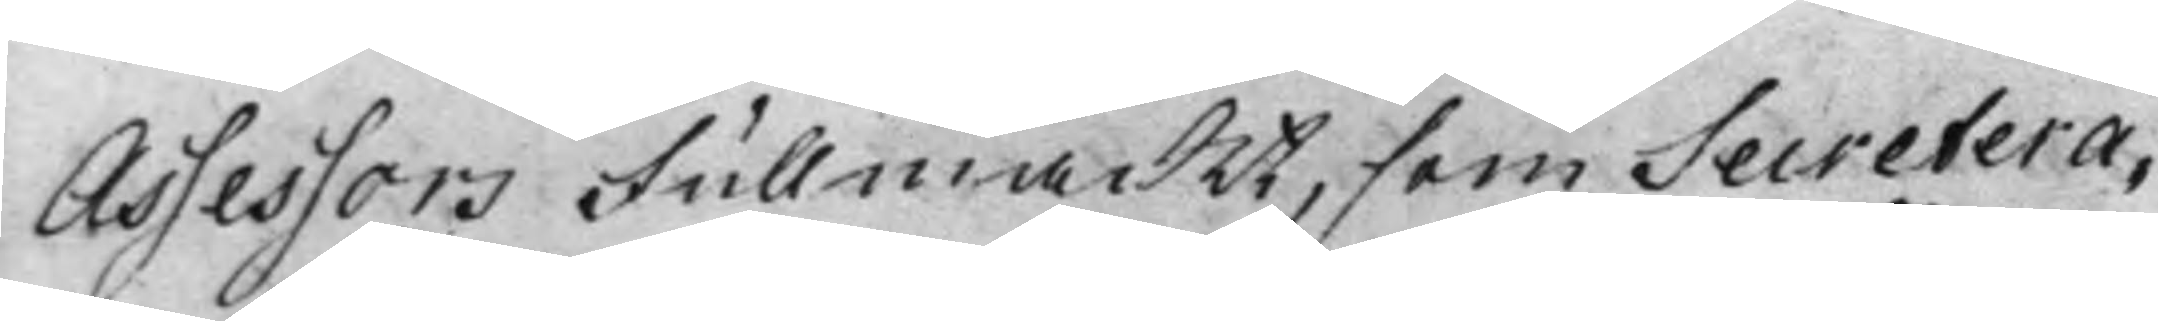Assessors Fullmackt, som Secretera¬
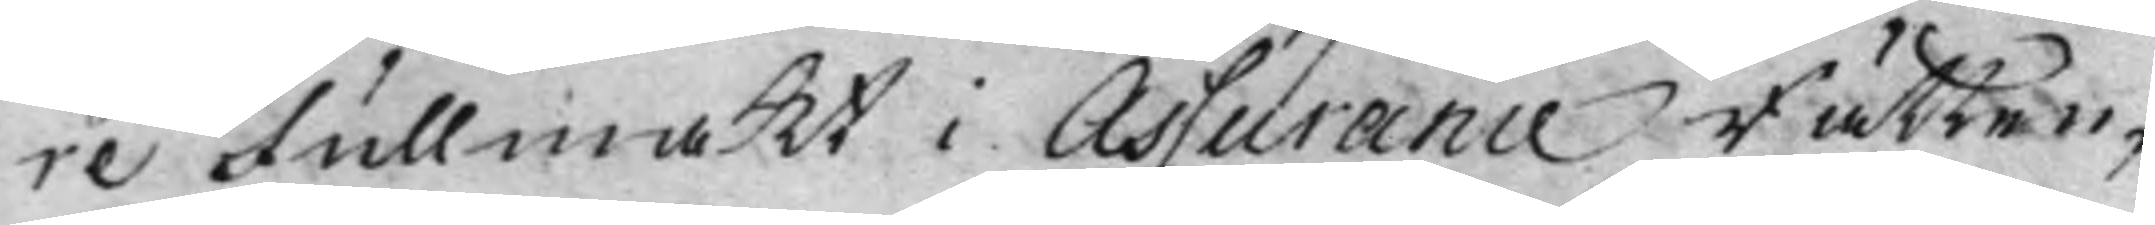re Fullmakt i Assurance Rätten,
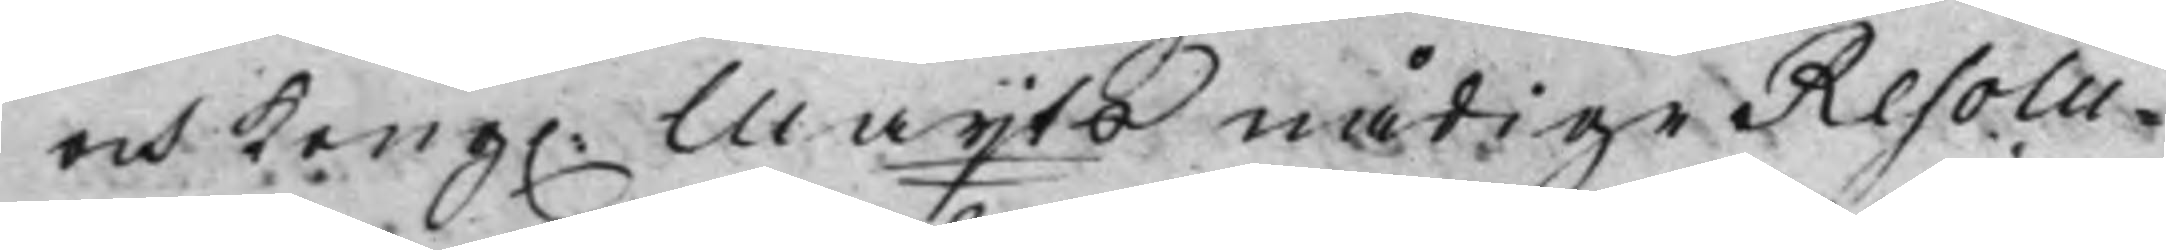och Kong. Maijts nådige Resolu¬
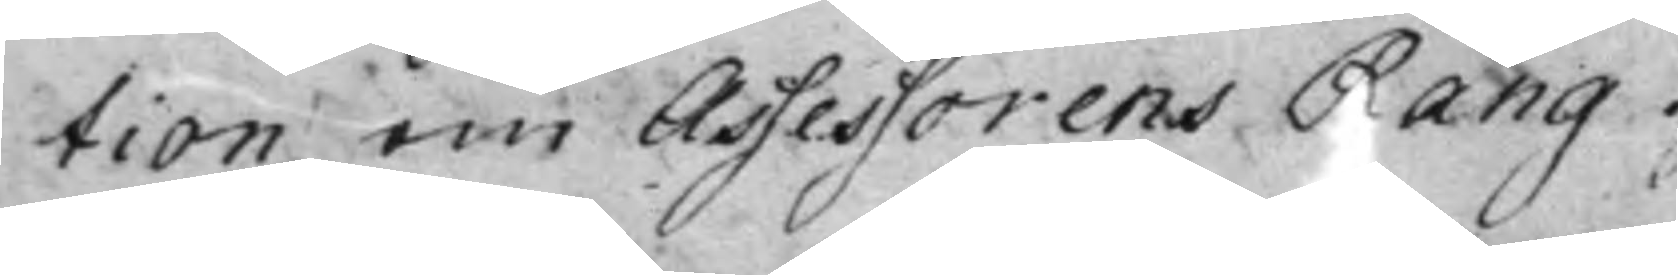tion om Assessorens Rang.
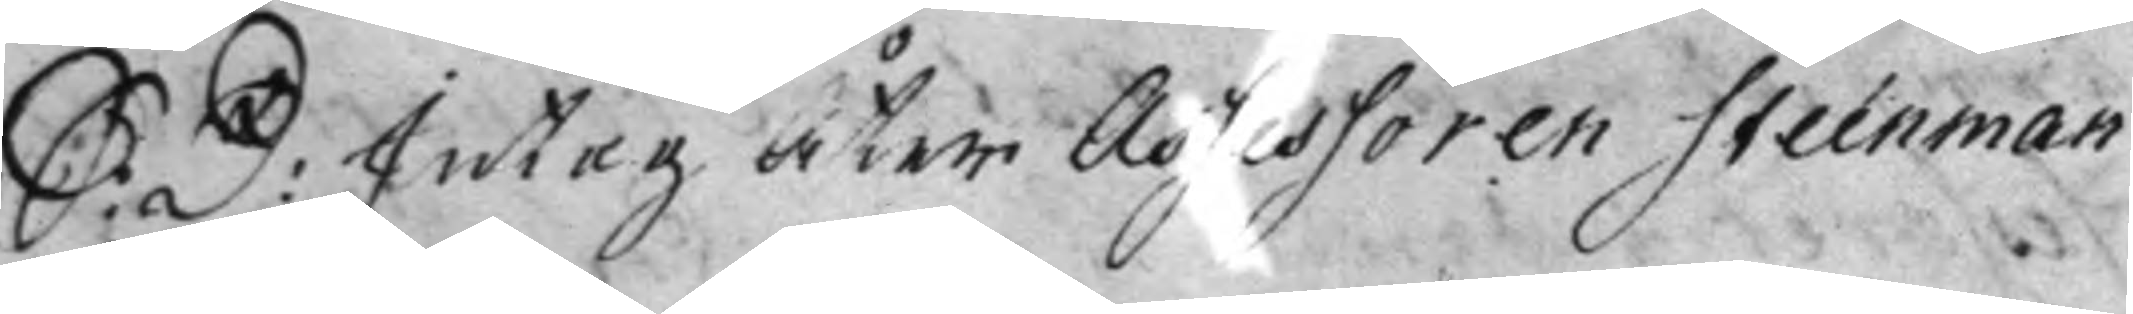S: D: Intog Åter Assessoren Steénman
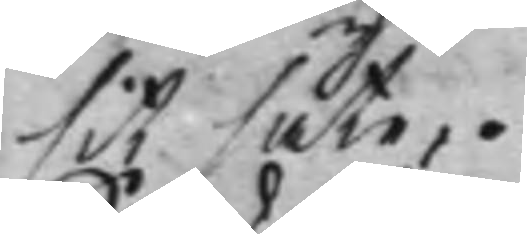sit säte.
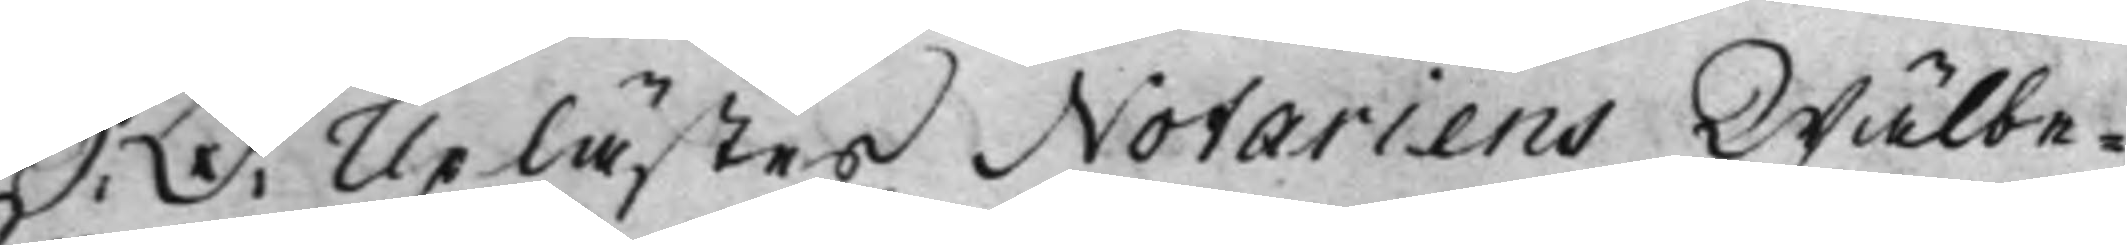S: D: Uplästes Notariens Wälbe¬
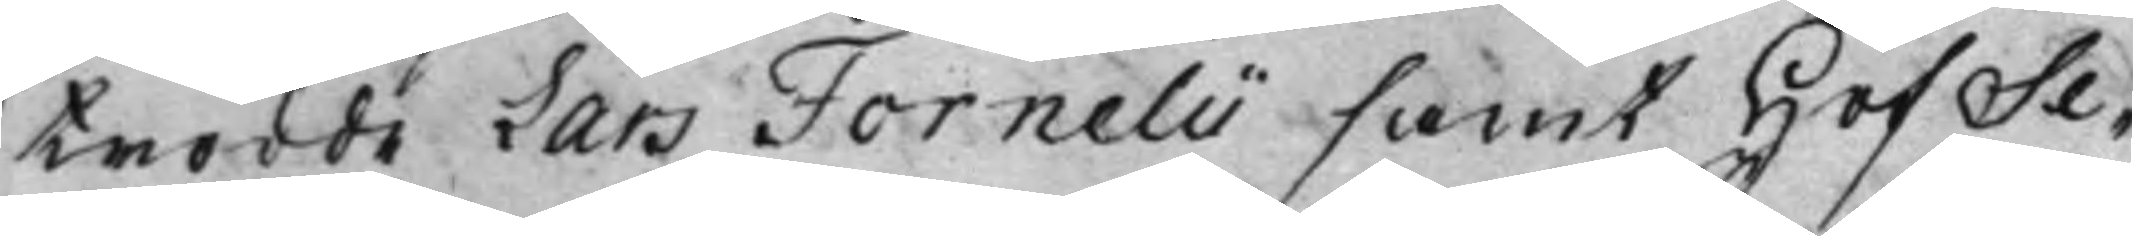trodde Lars Fornelii samt HofSe¬
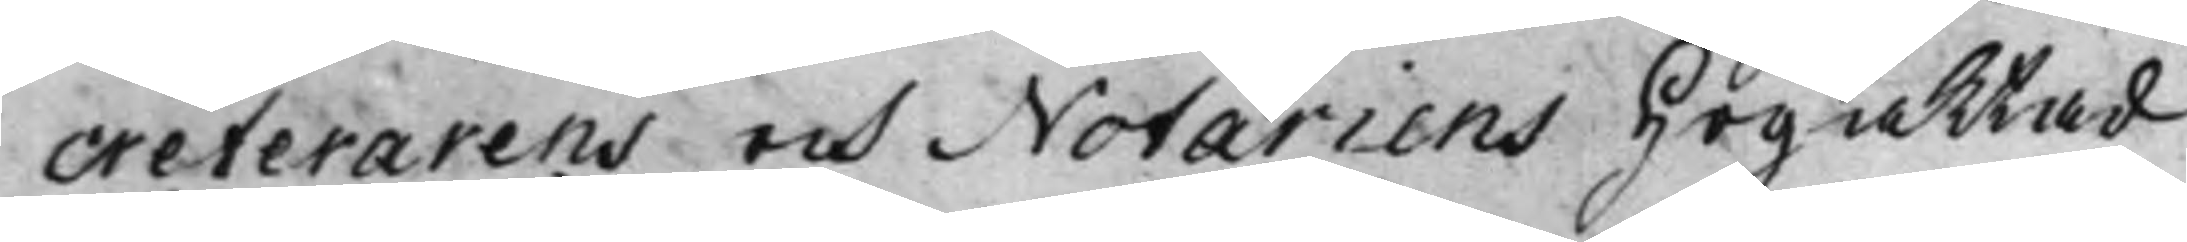creterarens och Notariens Högaktad
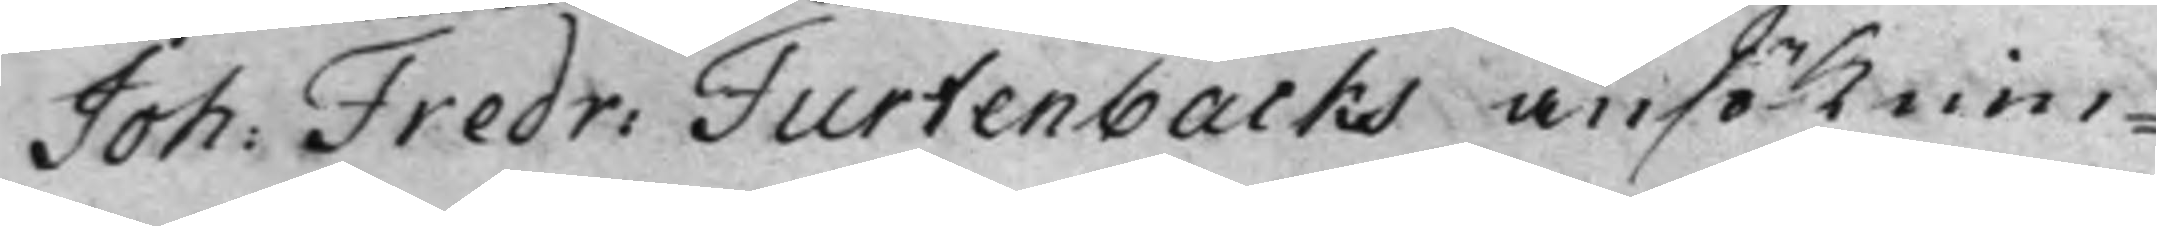Joh: Fredr: Furtenbacks ansöknin¬
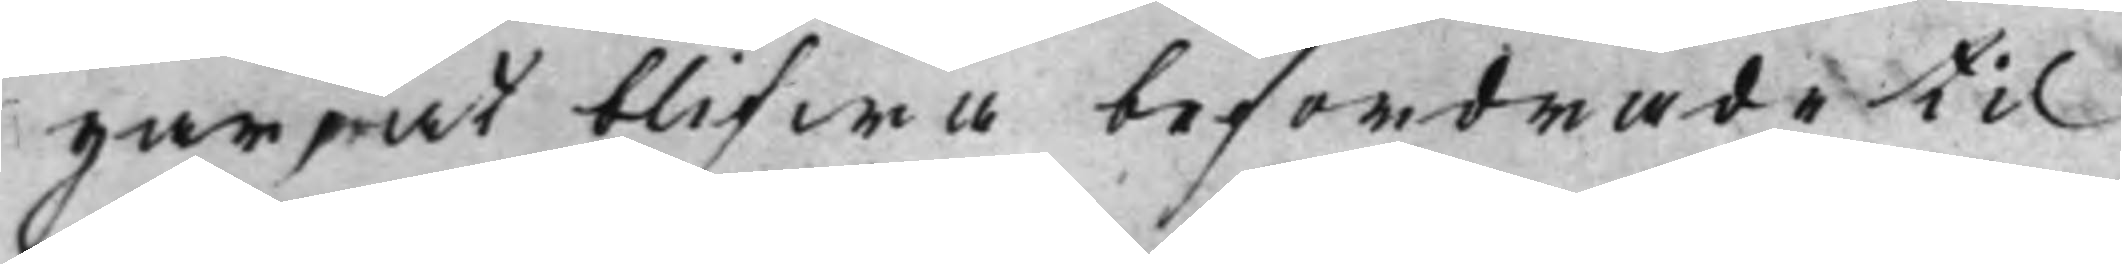gar, at blifwa befordrade til
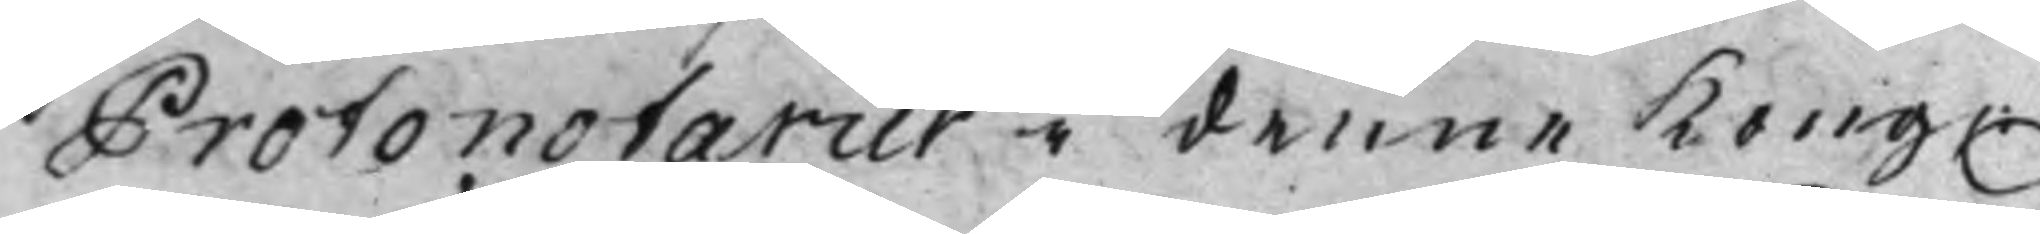Protonotarier i denne Kong.
